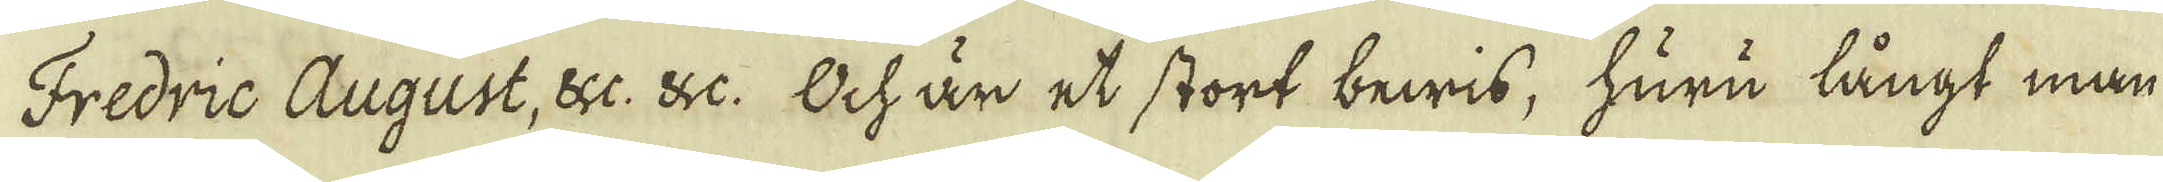Fredric August, &c. &c. Och är et stort bewis, huru långt man
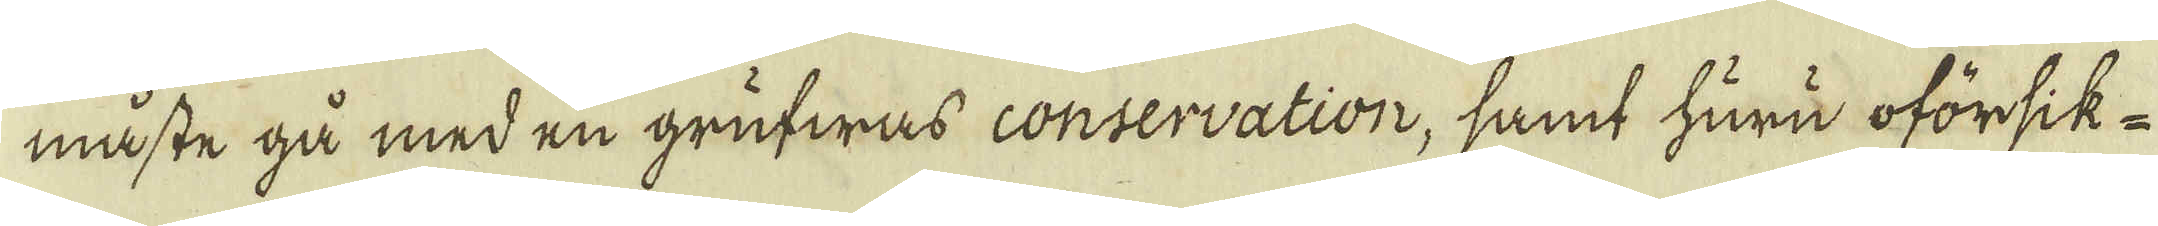måste gå med en grufwas conservation, samt huru oförsik-
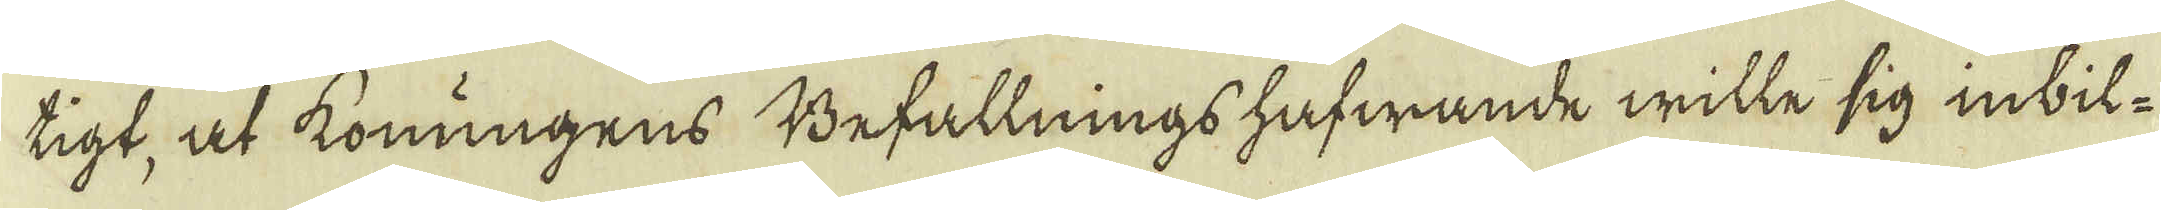tigt, at konungens Befallnings hafwande wille sig inbil-
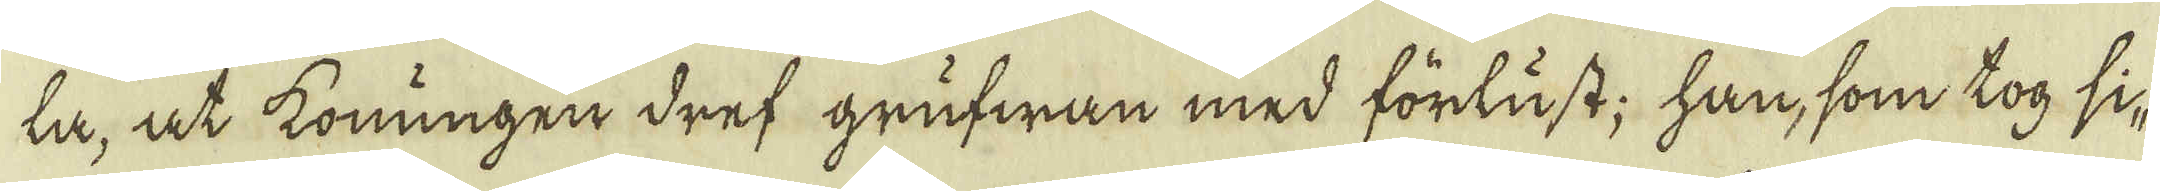ta, at konungen dref grufwan med förlust; han, som tog si-
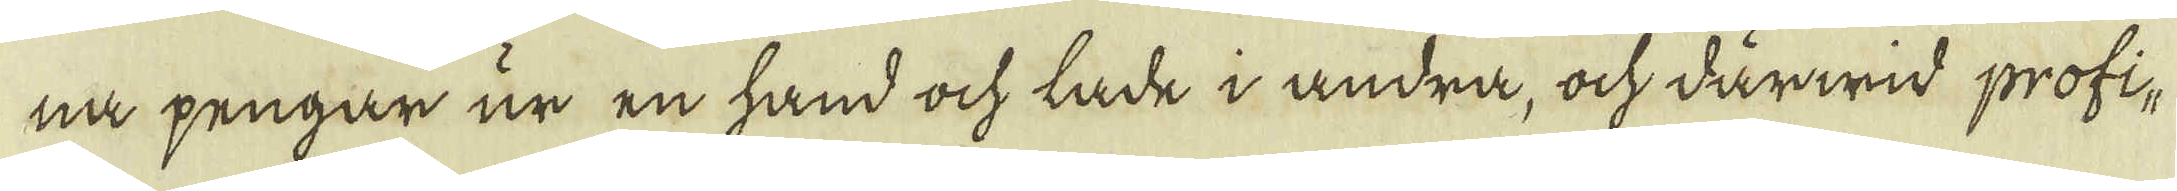na pengar ur en hand och lade i andra, och därwid profi-
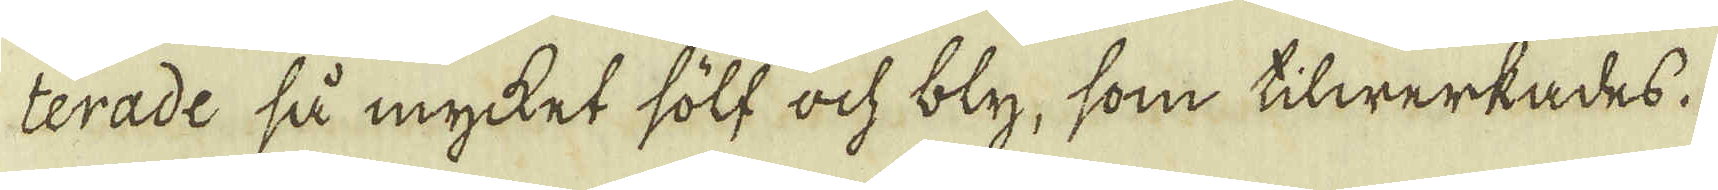terade så mycket sölf och bly, som tilwerkades.
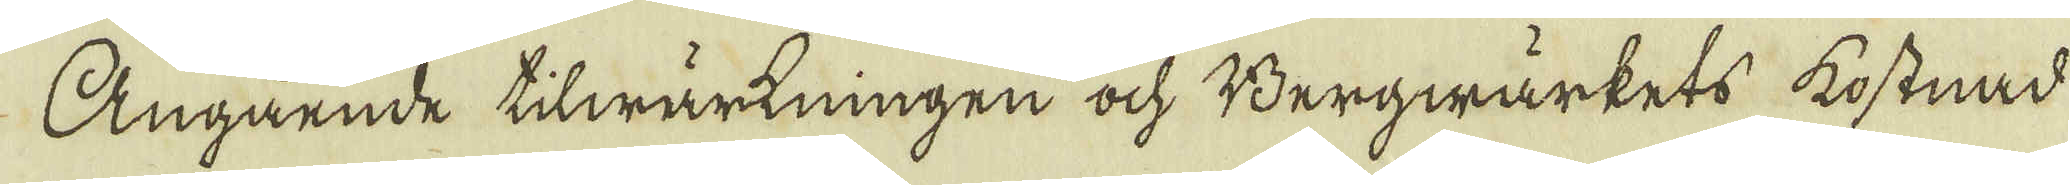Angående tilwärkningen och Bergwärkets kostnad
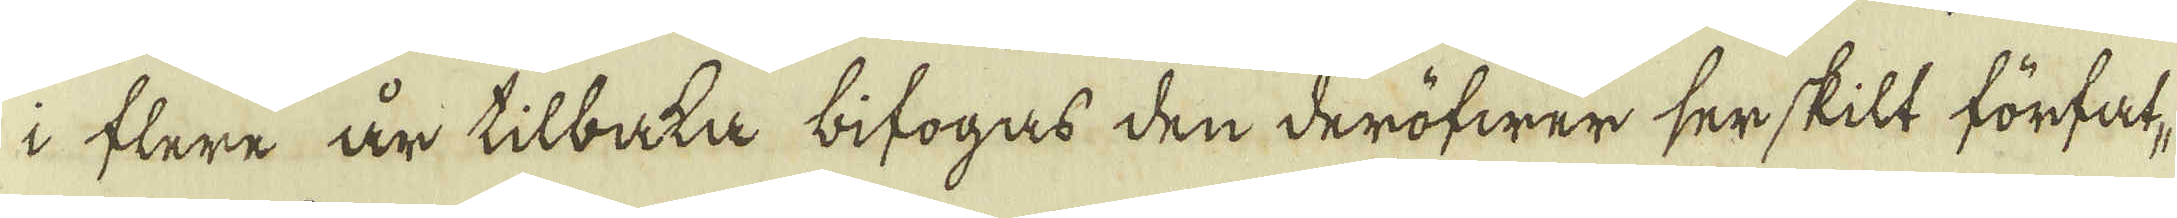i flere år tilbaka bifogas den deröfwer serskilt förfat-
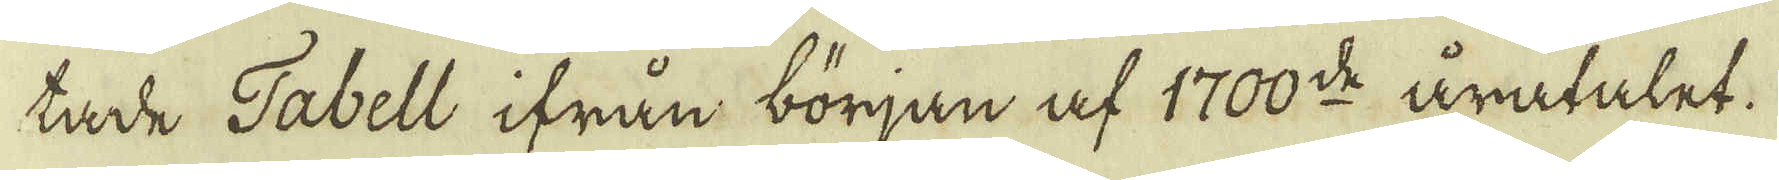tade Tabell ifrån början af 1700:de åratalet.
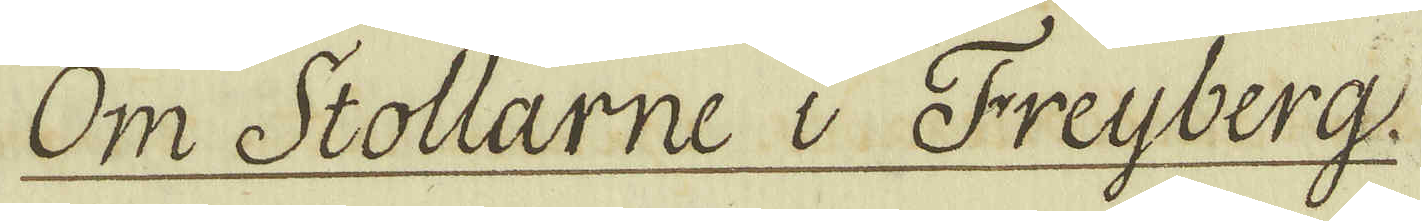Om Stollarne i Freijberg.
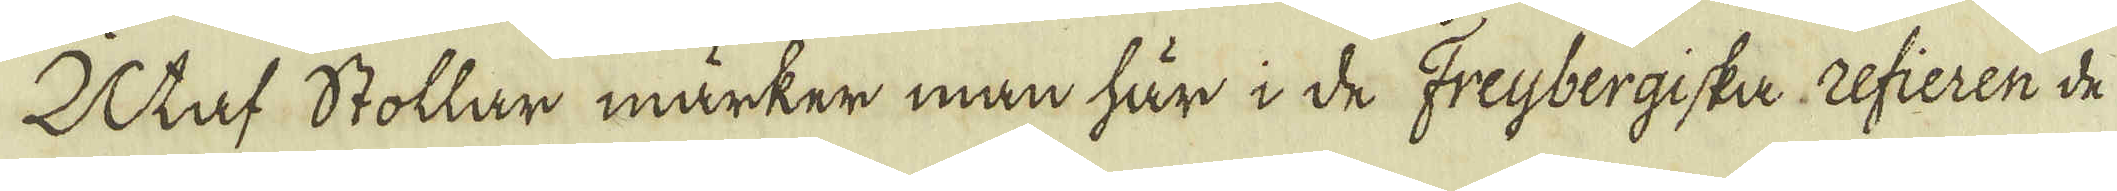Utaf Stollar märker man här i de Freijbergiska Refieren de
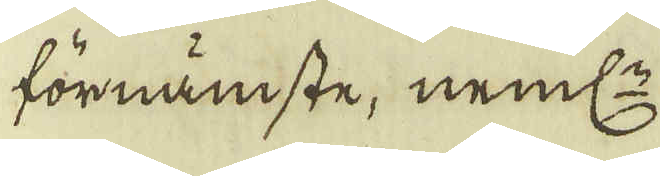förnämste, neml:n
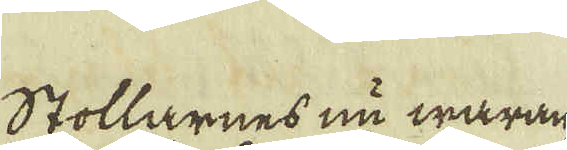Stollarnes nu waran-
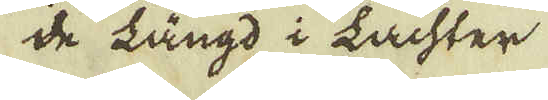de längd i Lachter
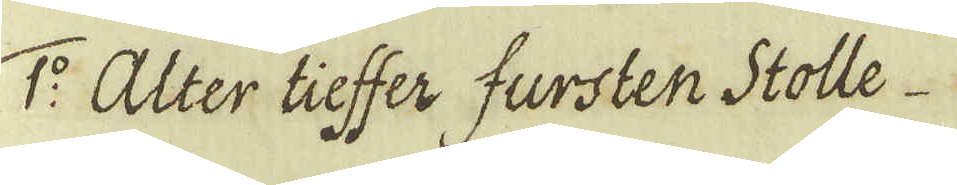1:o Alter tieffer fursten Stolle
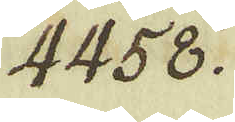4458.
